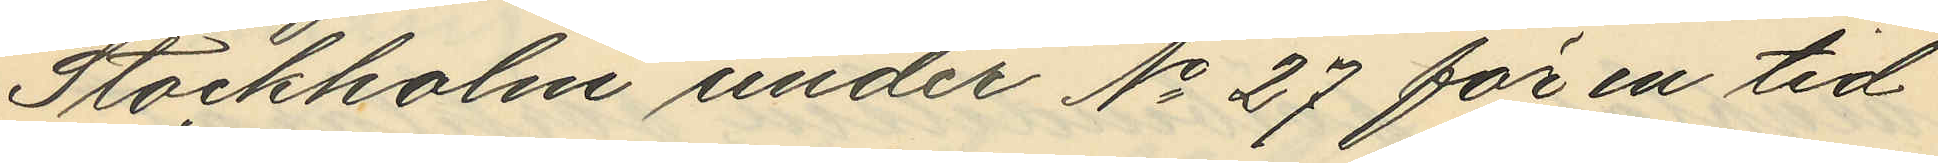Stockholm under No 27 för en tid
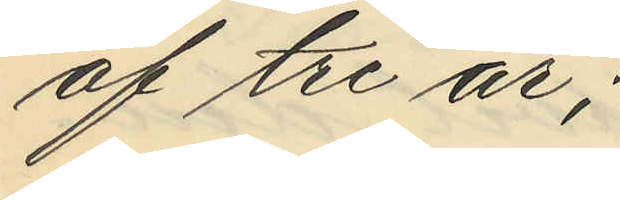af tre år;
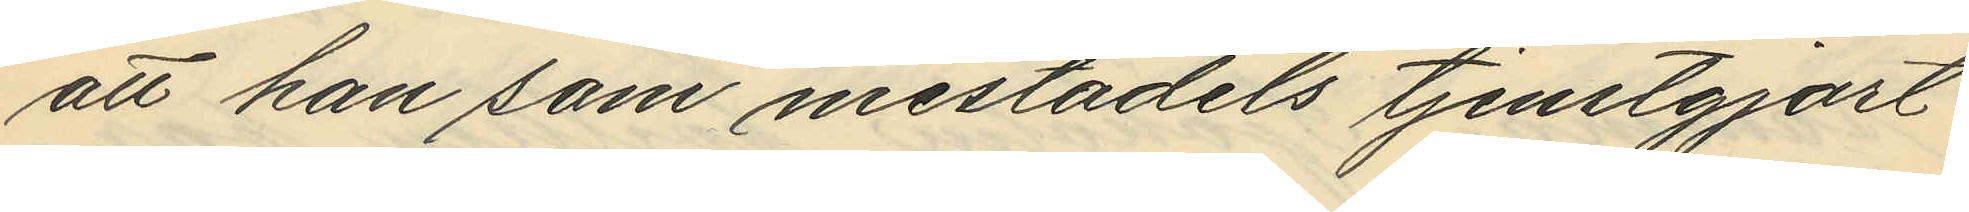att han som mestadels tjenstgjort
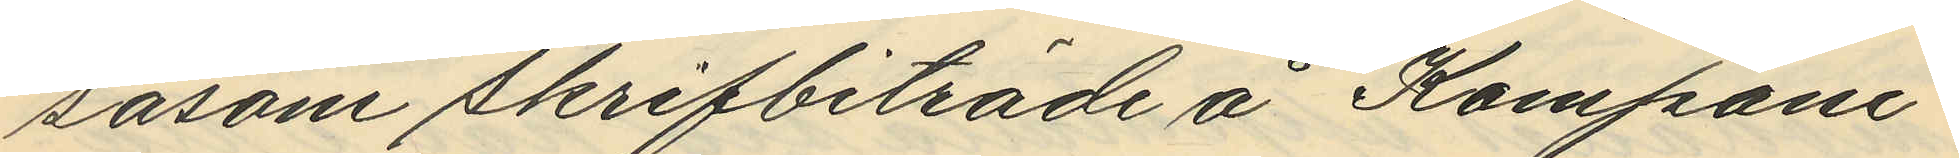såsom skrifbiträde å Kompani¬
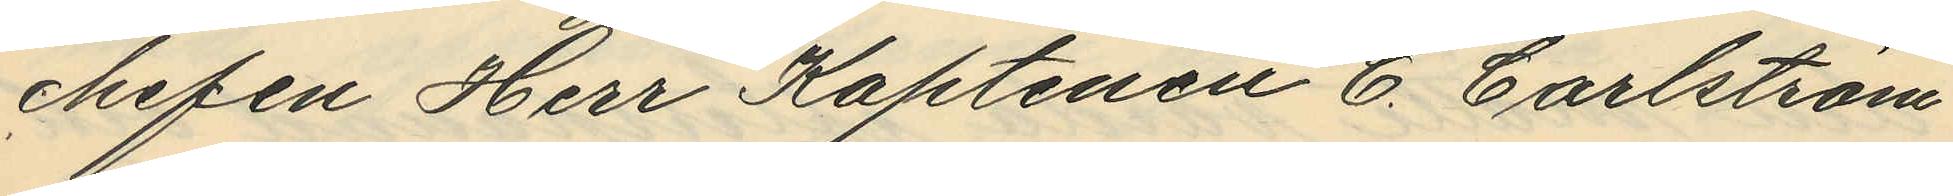chefen Herr Kaptenen C. Carlström,
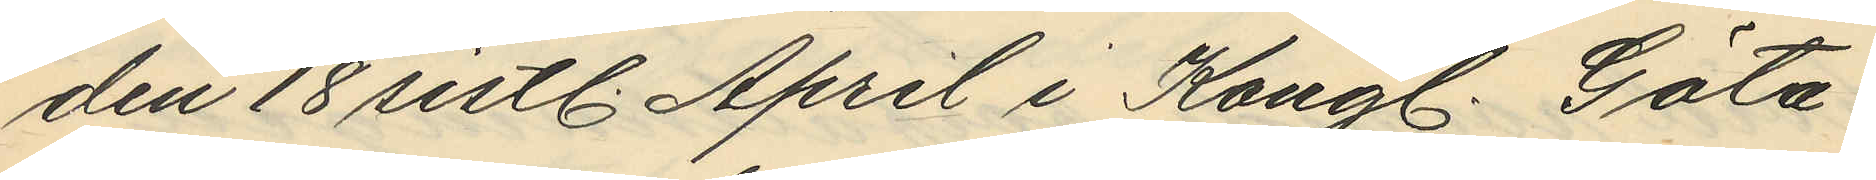den 18 sistl. April i Kongl. Göta
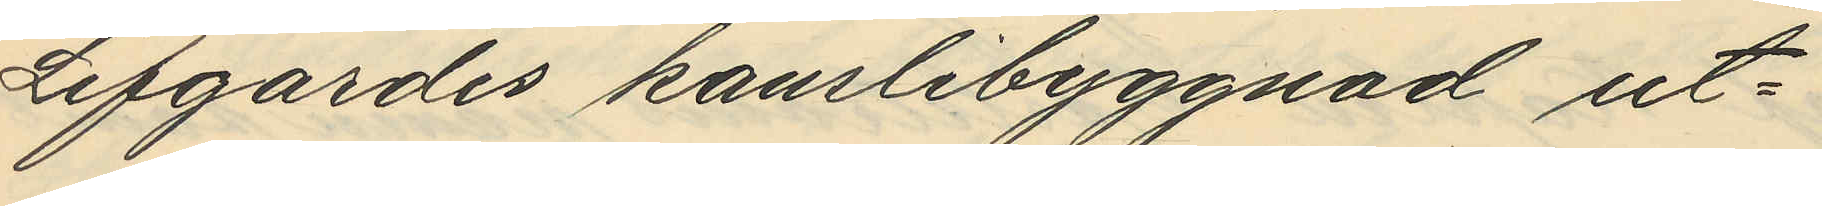Lifgardes kanslibyggnad ut¬
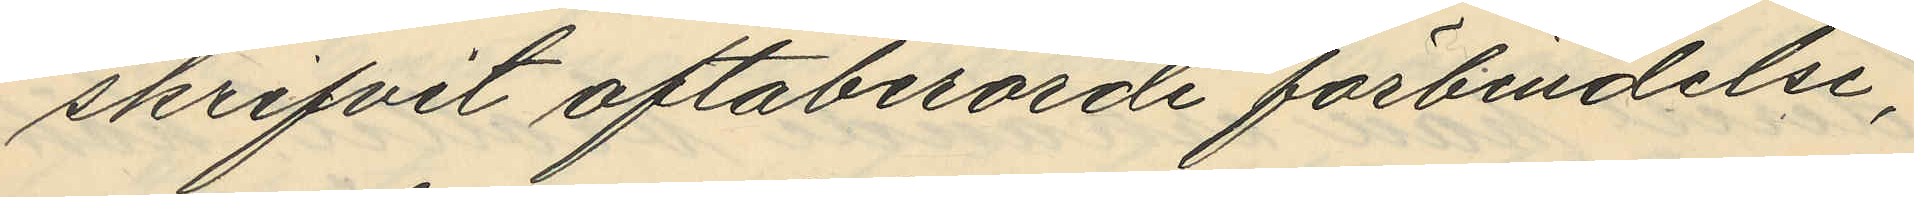skrifvit oftaberörde förbindelse,
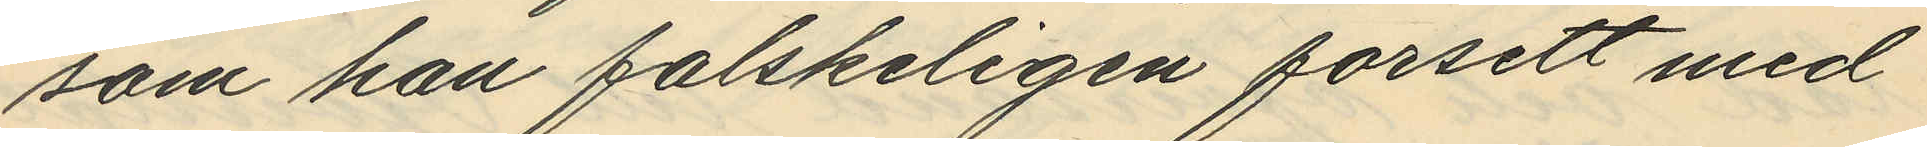som han falskeligen försett med
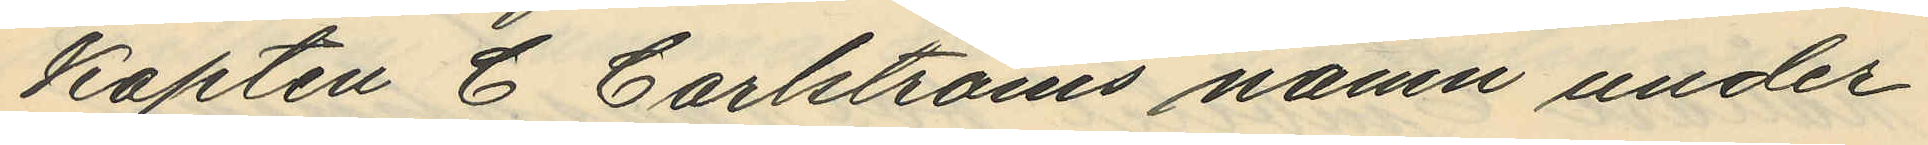Kapten C Carlströms namn under
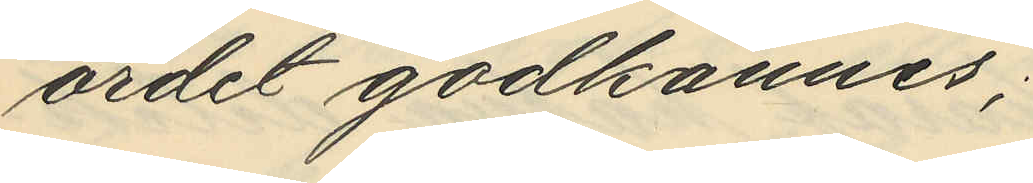ordet godkännes;
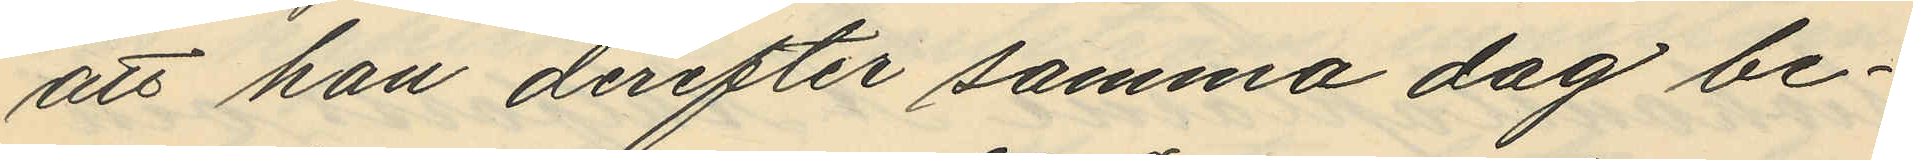att han derefter samma dag be¬
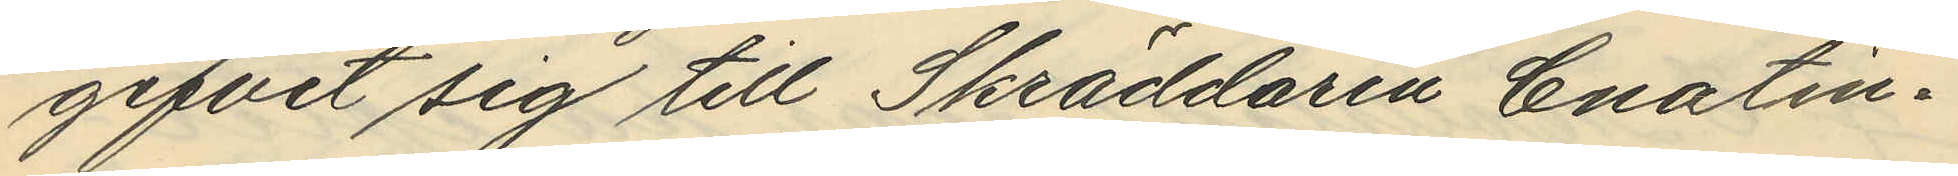gifvit sig till Skräddaren Enatin¬
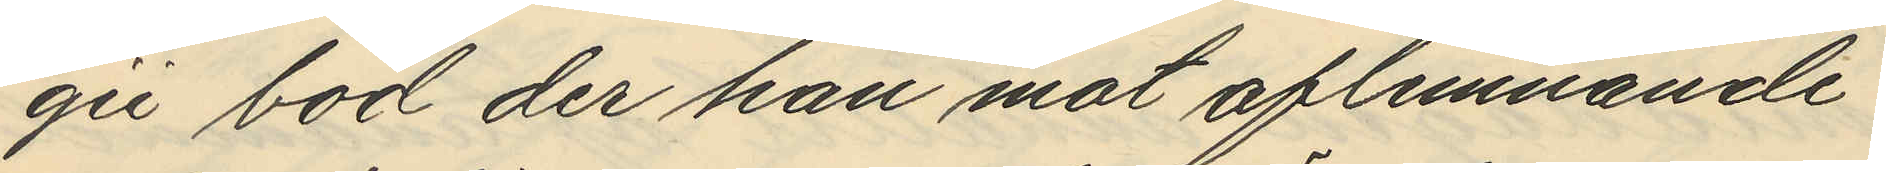gii bod der han mot aflemnande
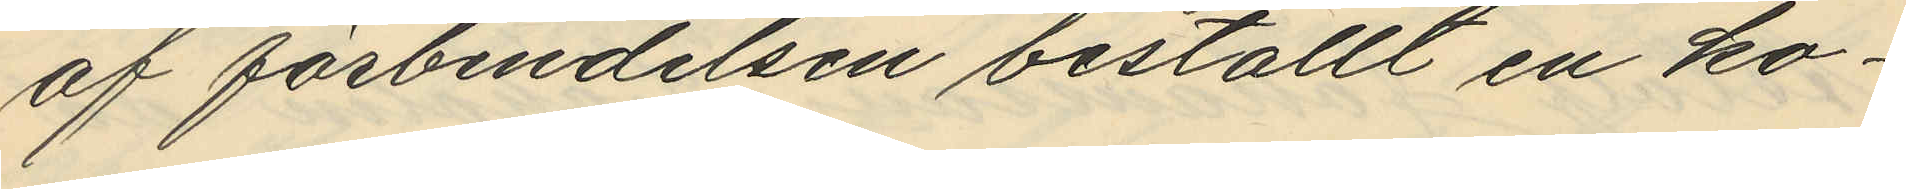af förbindelsen beställt en ko¬
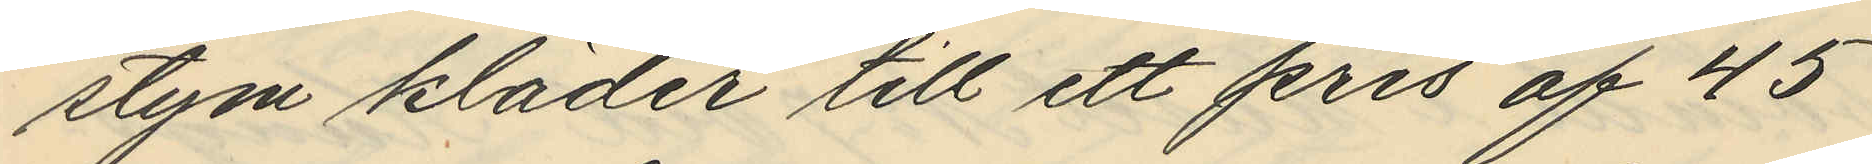stym kläder till ett pris af 45
